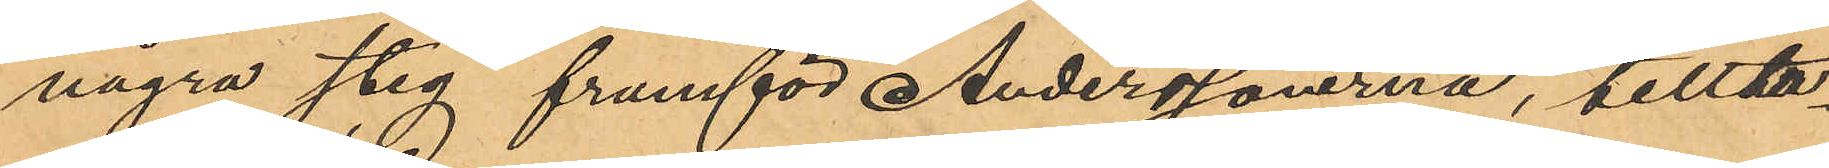några steg framför Anderssönerna, tillta¬
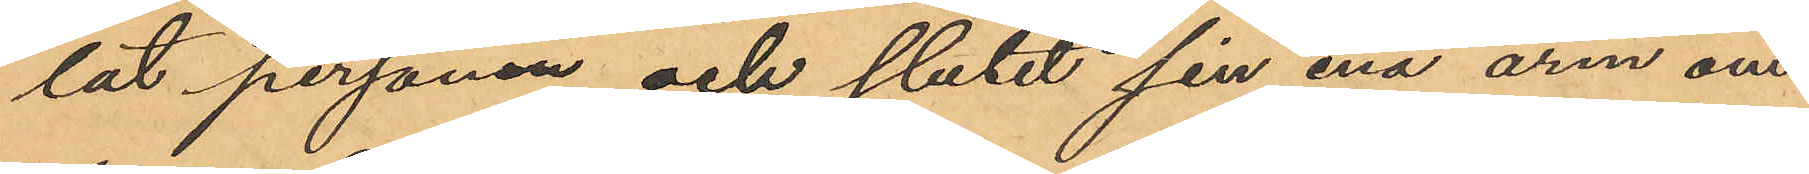lat personen och slutet sin ena arm om
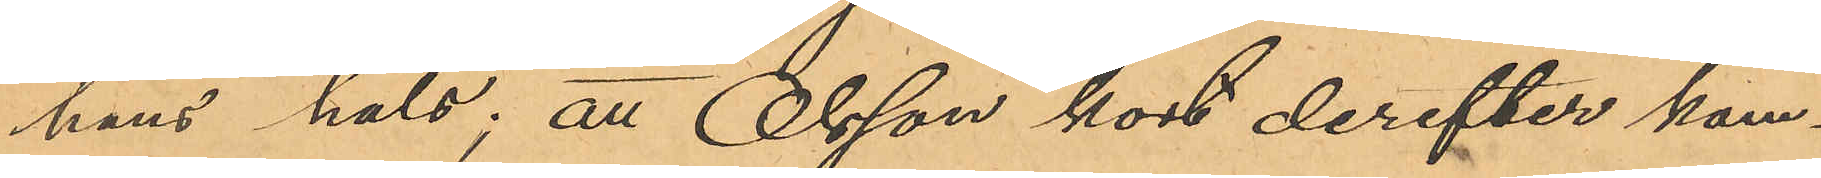hans hals; att Olsson kort derefter kom¬
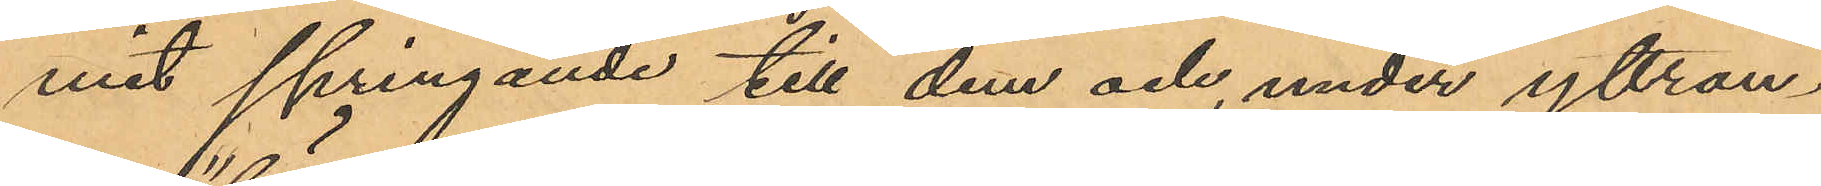mit springande till dem och, under yttran¬
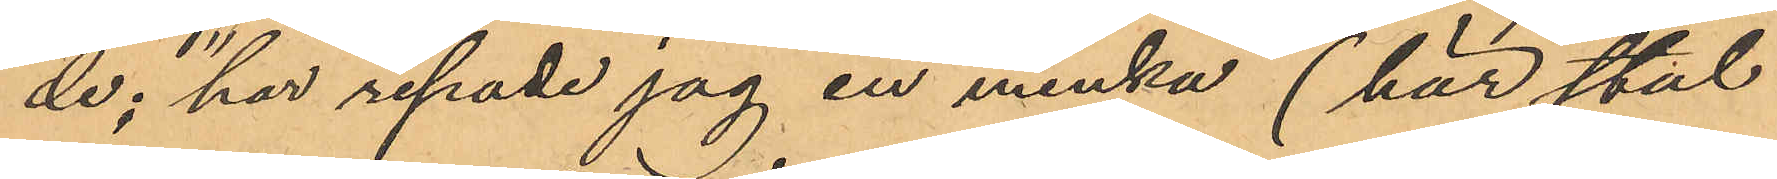de; "här repade jag en minka" (här stal
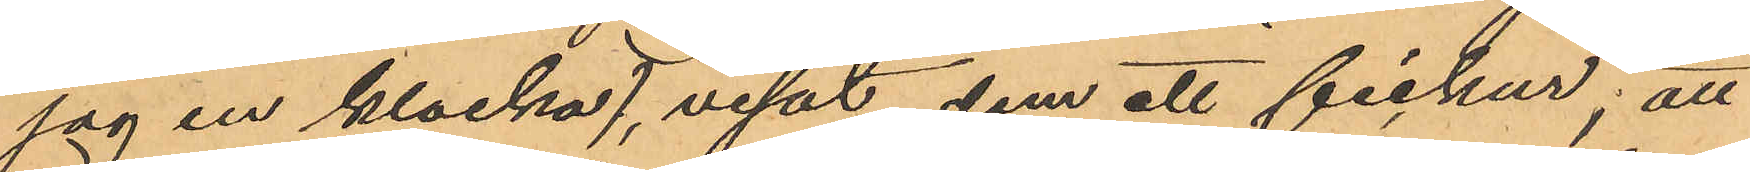jag en klocka), visat dem ett fickur; att
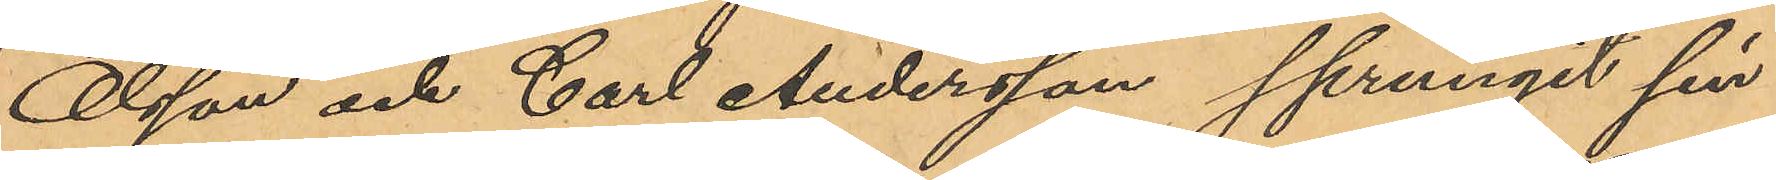Olsson och Carl Andersson sprungit sin
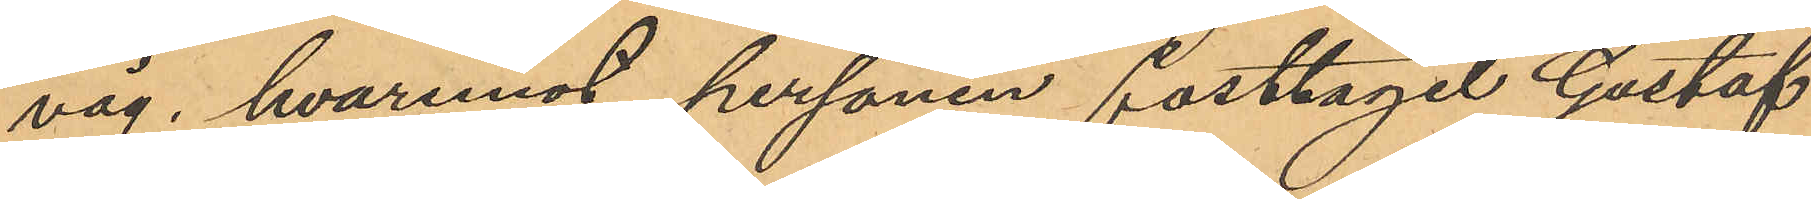väg, hvaremot personen fasttagit Gustaf
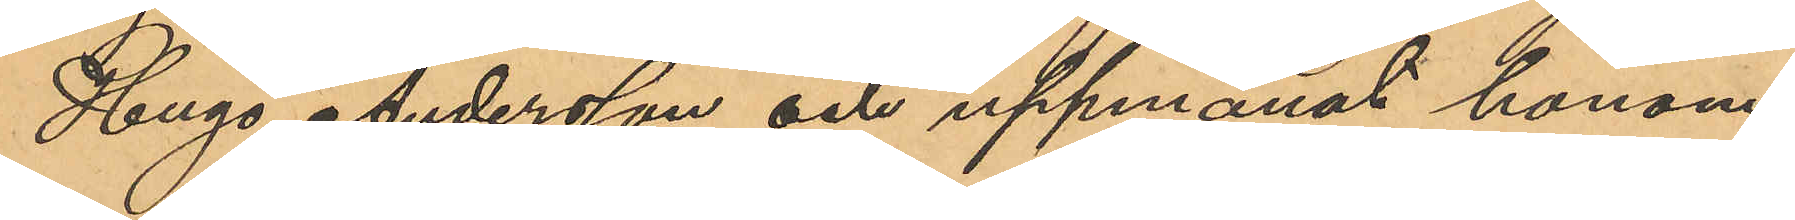Hugo Andersson och uppmanat honom
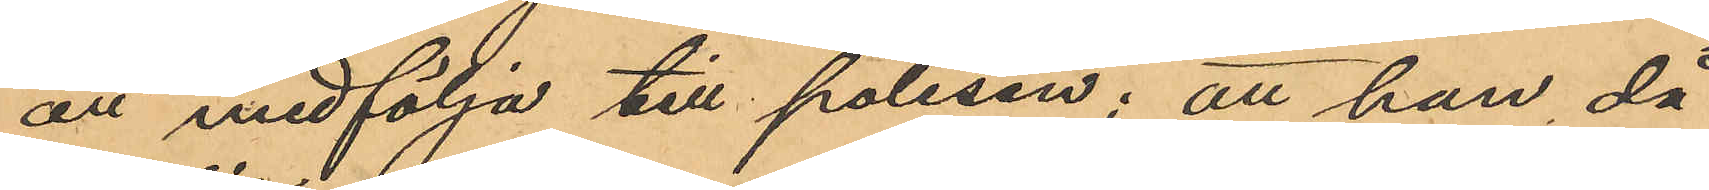att medfölja till polisen; att han då
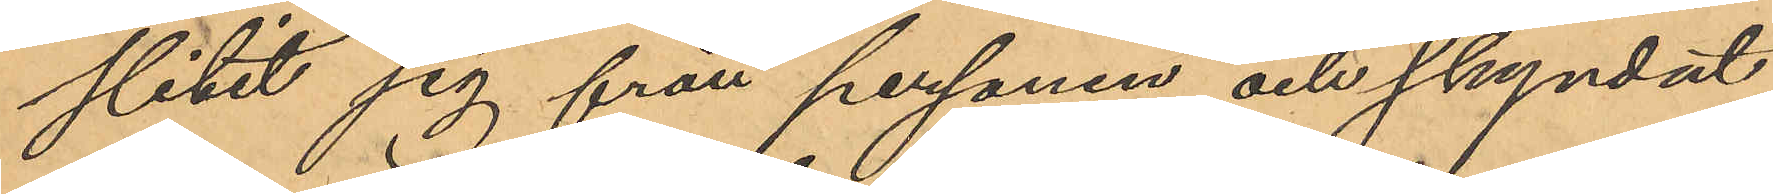slitit sig från personen och skyndat
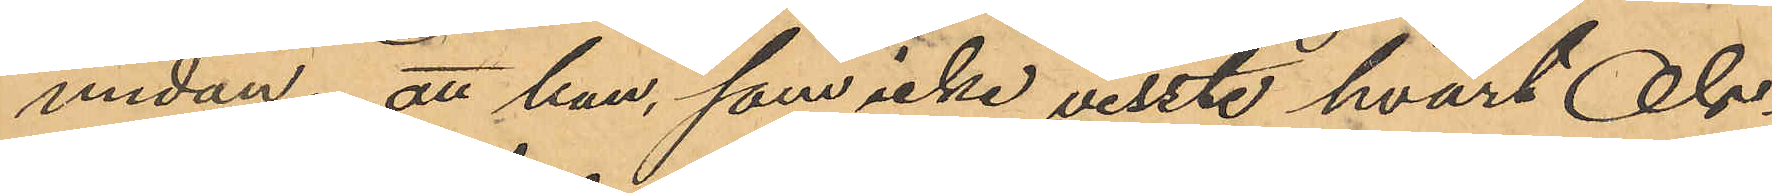undan; att han, som icke visste hvart Ols¬
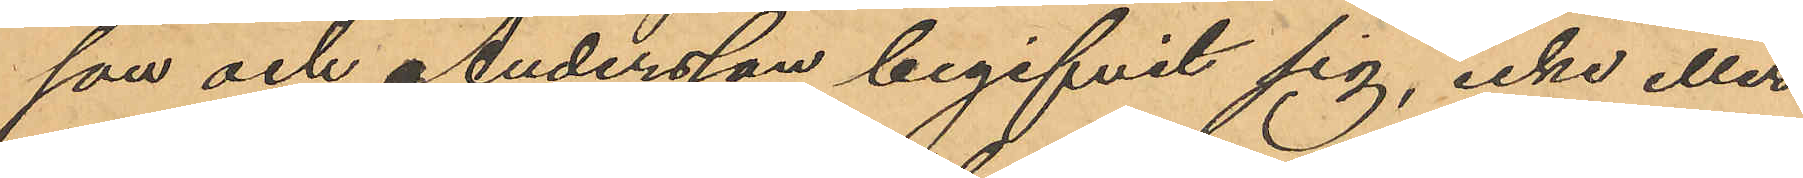son och Andersson begifvit sig, icke eller
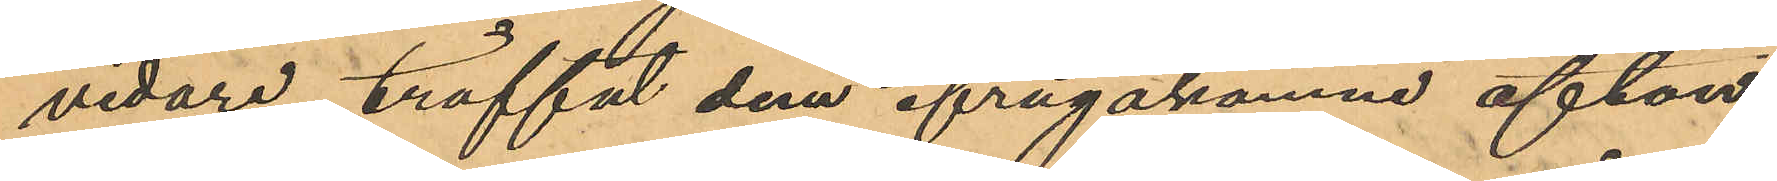vidare träffat dem ifrågakomne afton;
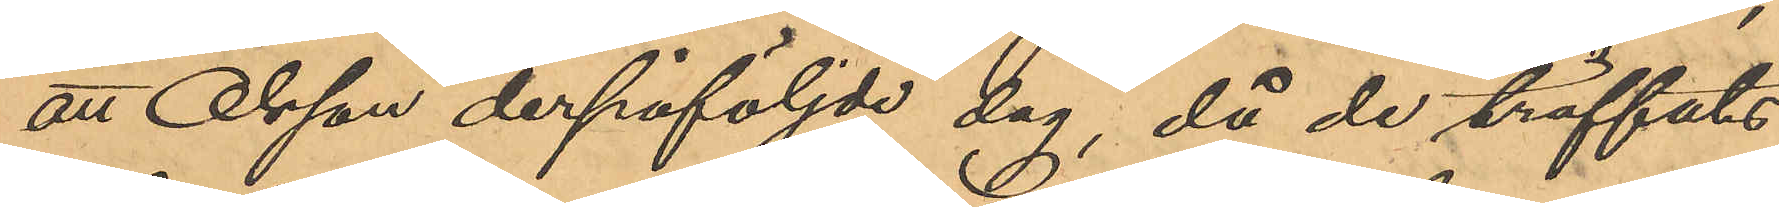att Olsson derpåföljde dag, då de träffats,
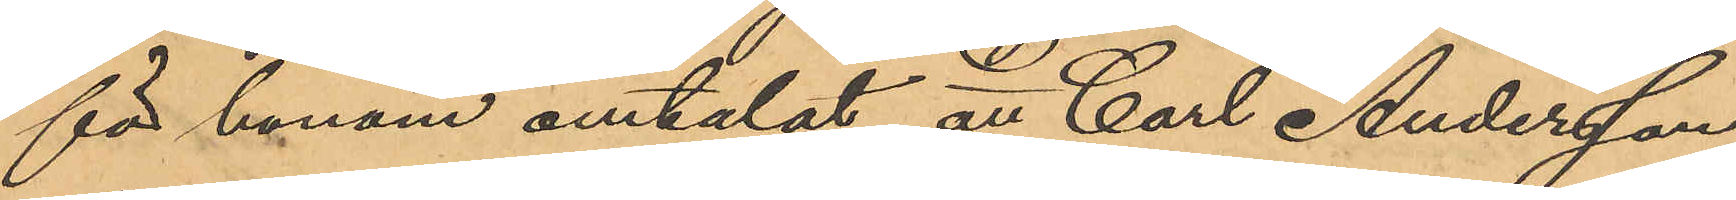för honom omtalat att Carl Andersson
